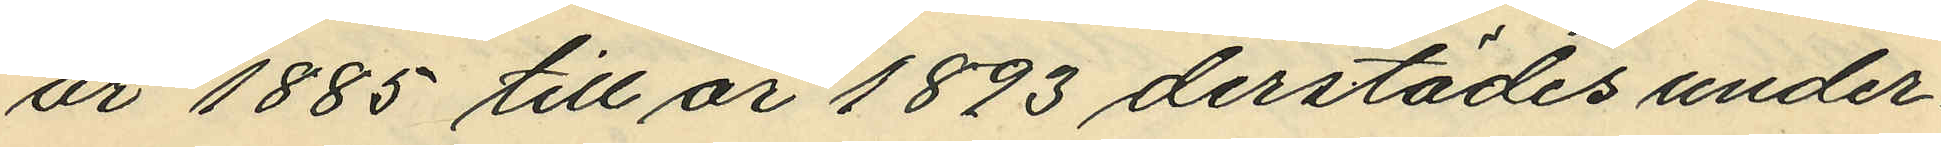år 1885 till år 1893 derstädes under¬
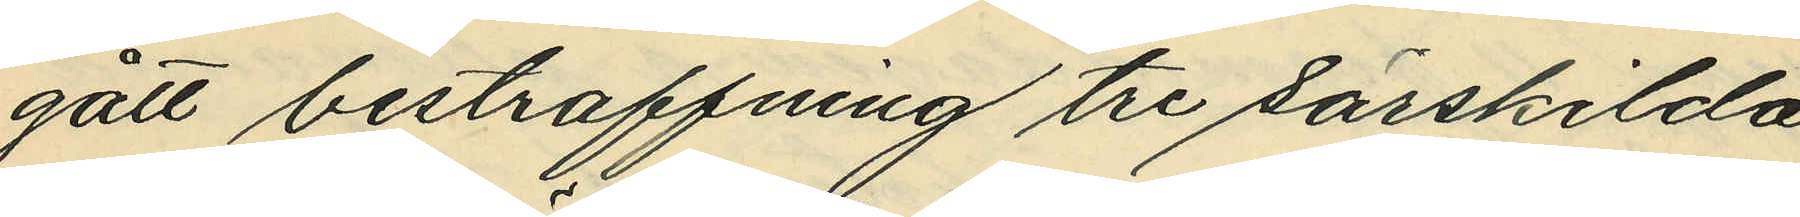gått bestraffning tre särskilda
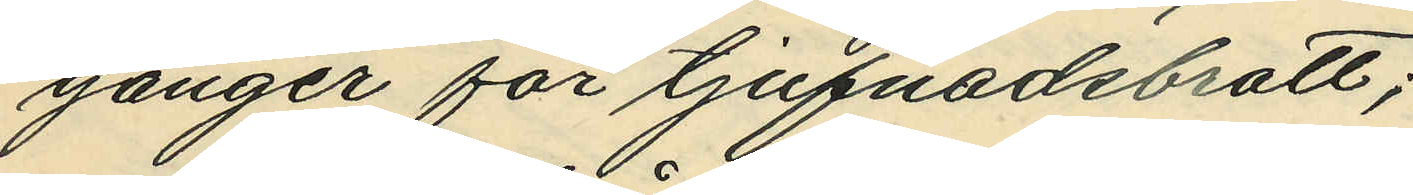gånger för tjufnadsbrott;
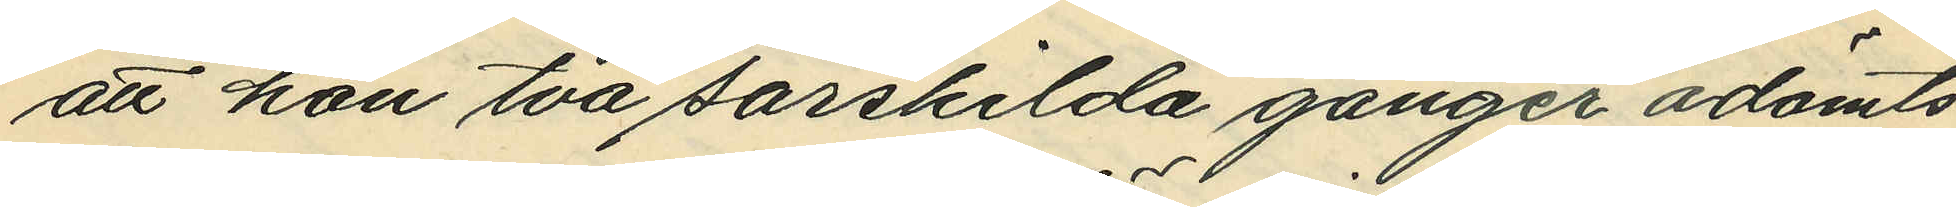att hon två särskilda gånger ådömts
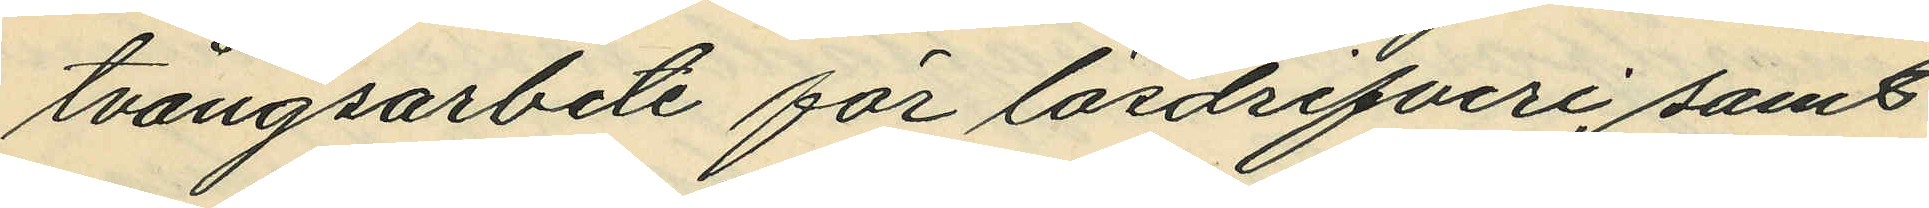tvångsarbete för lösdrifveri, samt
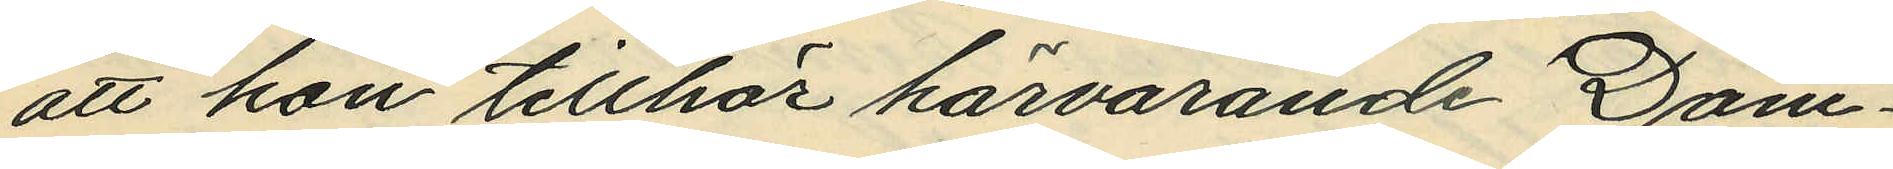att hon tillhör härvarande Dom¬
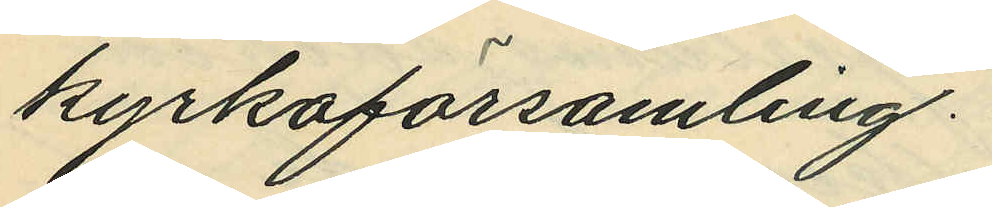kyrkoförsamling.
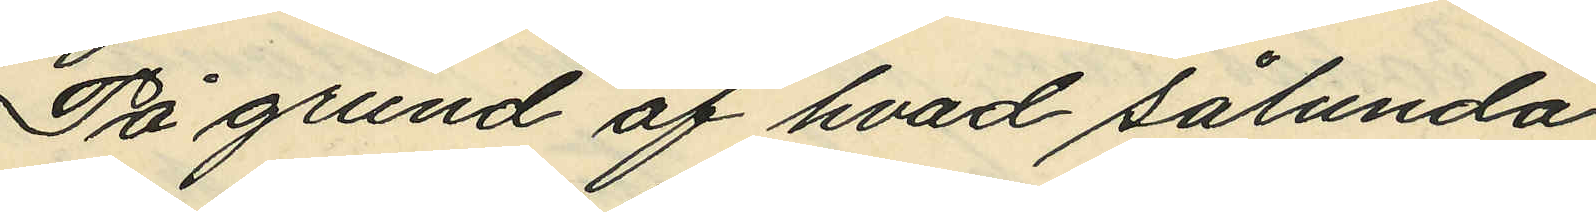På grund af hvad sålunda
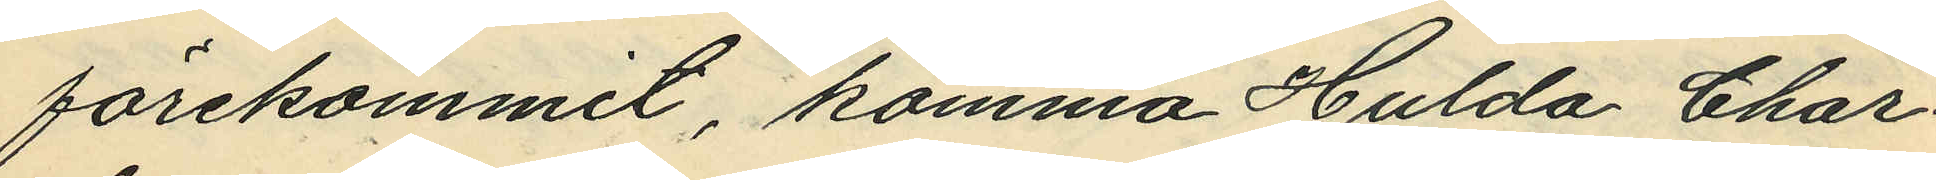förekommit, komma Hulda Char¬
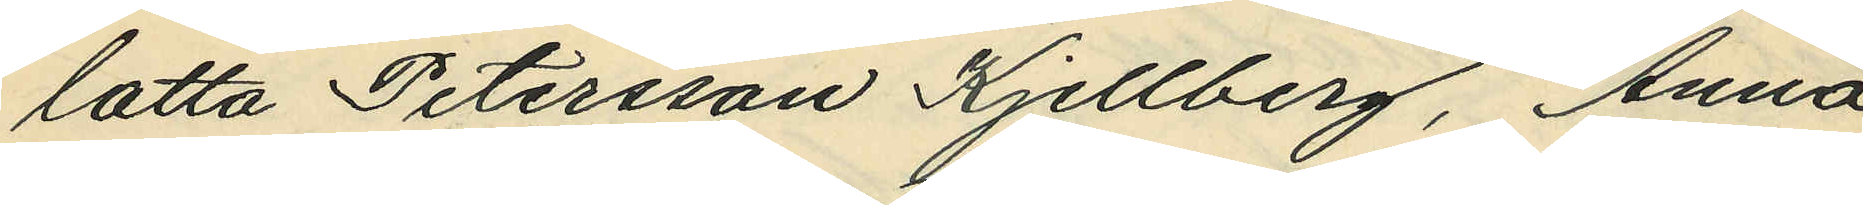lotta Petersson Kjellberg, Anna
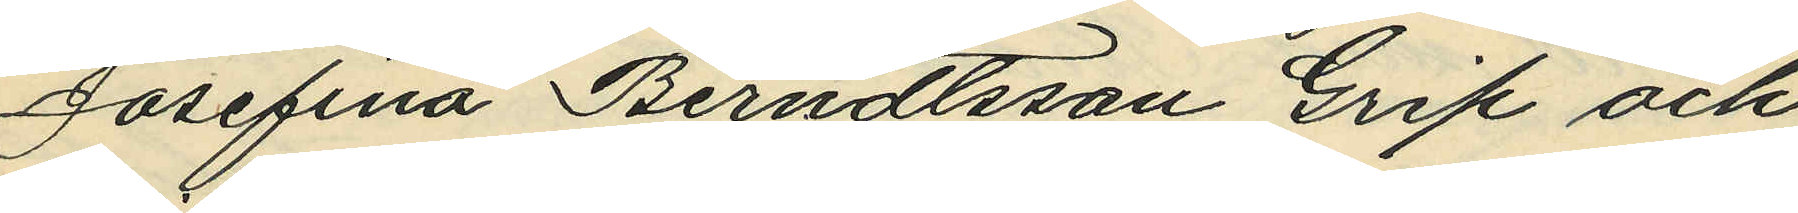Josefina Berndtsson Grip och
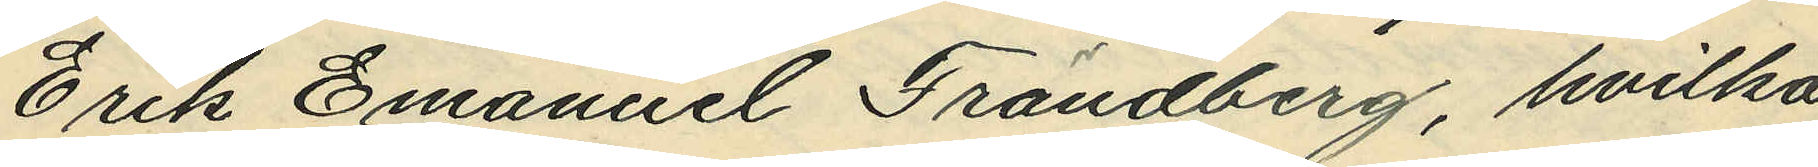Erik Emanuel Frändberg, hvilka
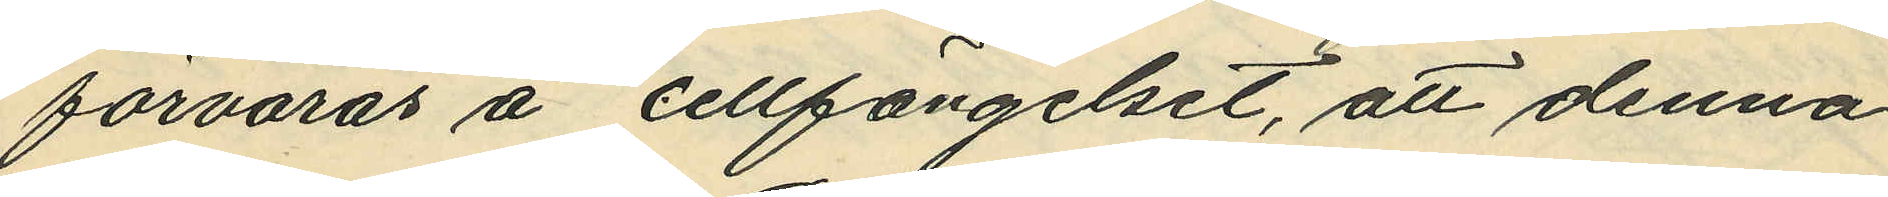förvaras å cellfängelset, att denna
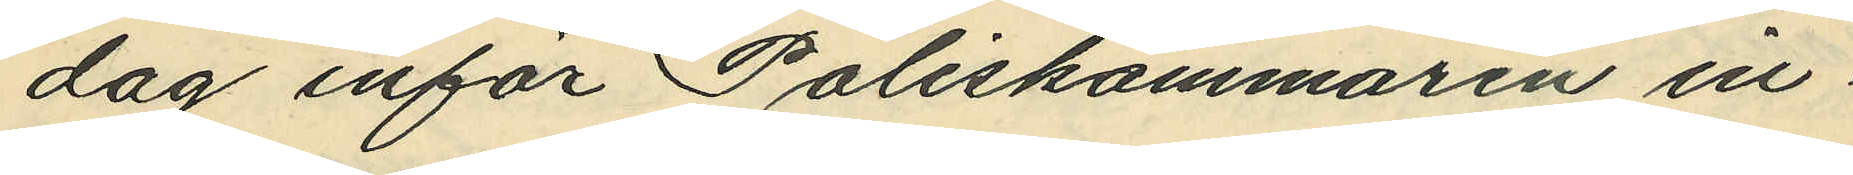dag inför Poliskammaren in¬
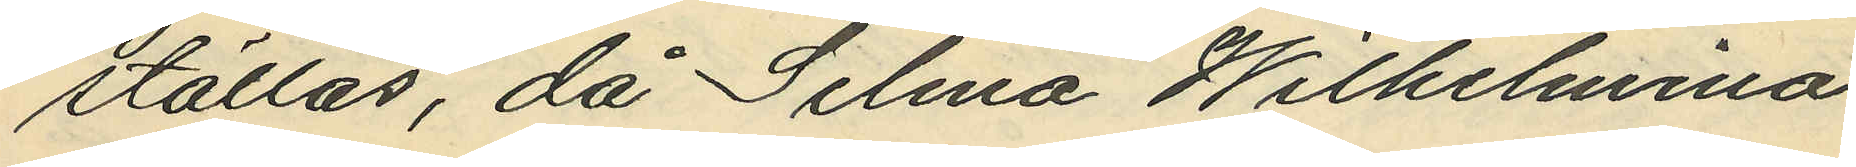ställas, då Selma Wilhelmina
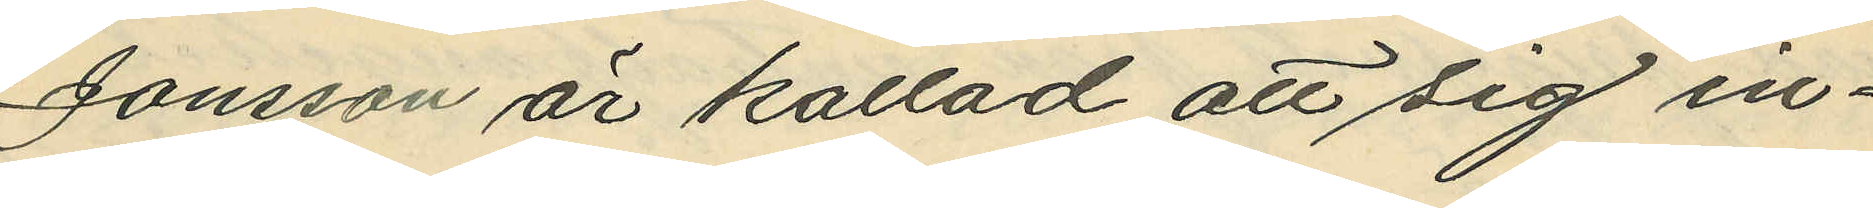Jonssan är kallad att sig in¬
